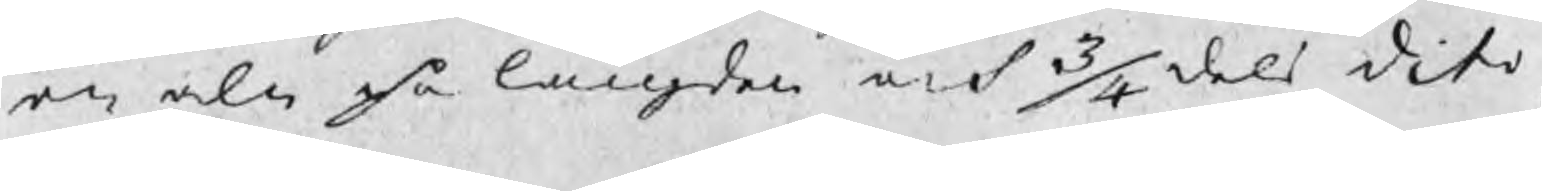en aln på längden och 3/4dels dito p
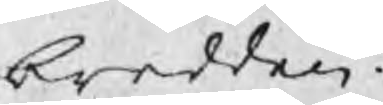bredden.
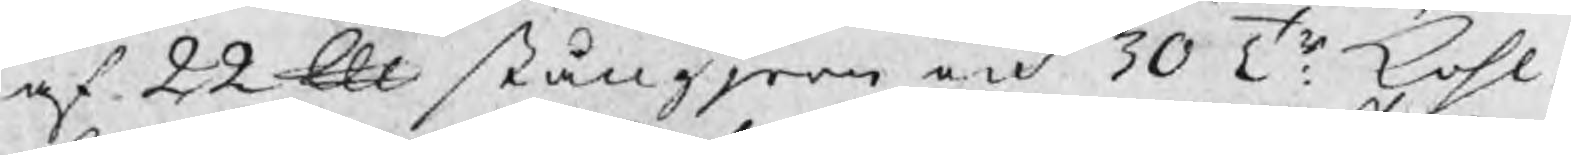af 22 ℔ stångjern och 30 Tr kohl,
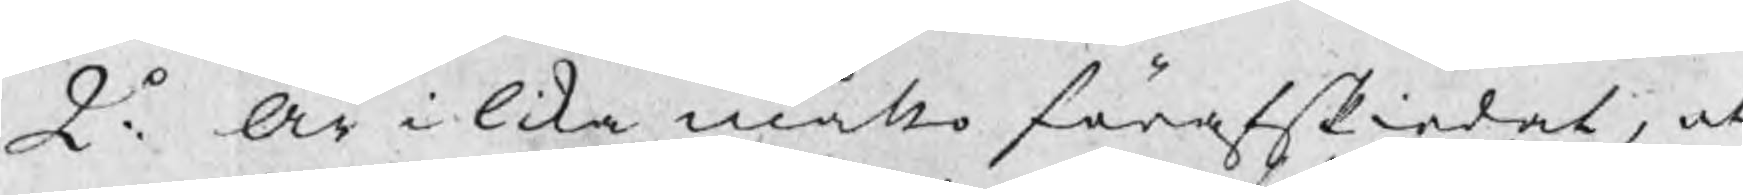2o: Är i lika måtto förafskiedat, at
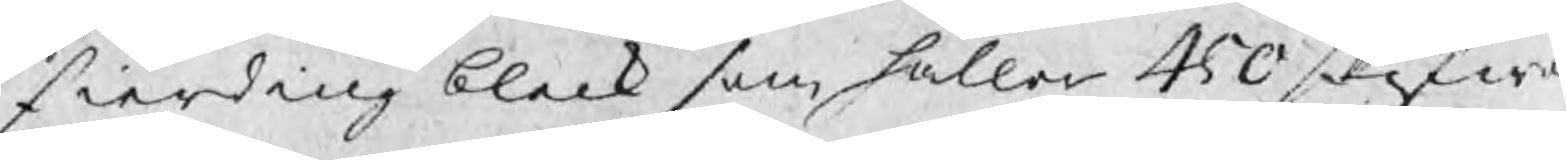fierding bleck som håller 450 skifwer
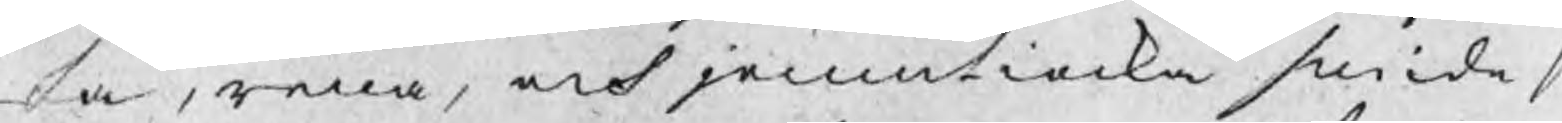sa, rena, och jemntiocka smide s
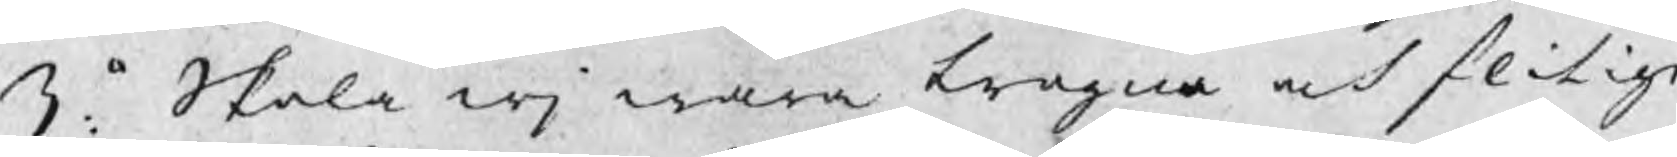3:o Skola wj wara trogna och flitige
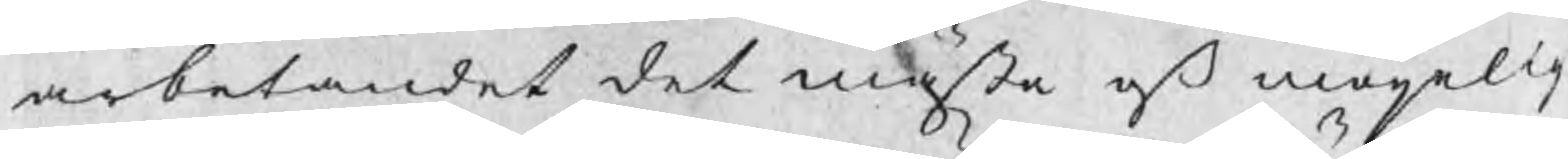arbetandet det mästa och möijelig
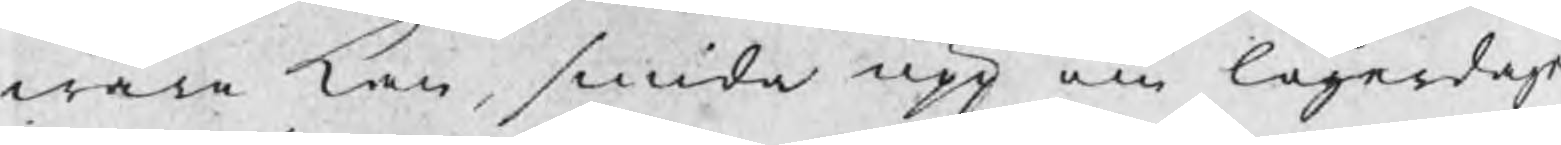wara kan, smida upp om lögardage
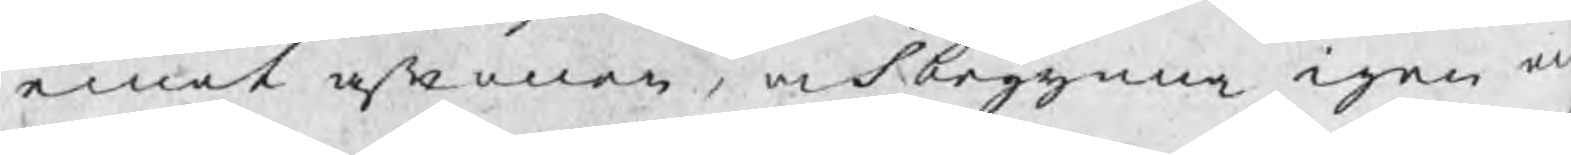emot aftonen, och begynna igen at
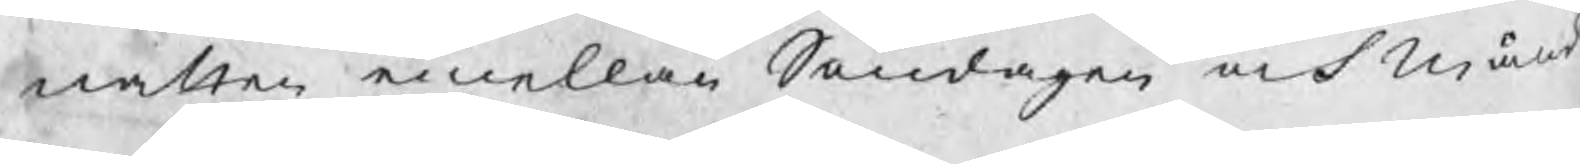natten emellan Söndagen och Månd
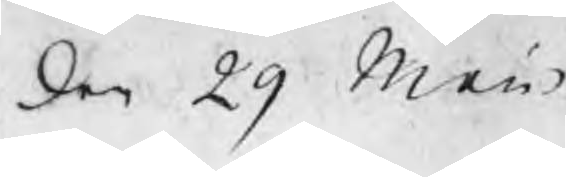den 29 Maii
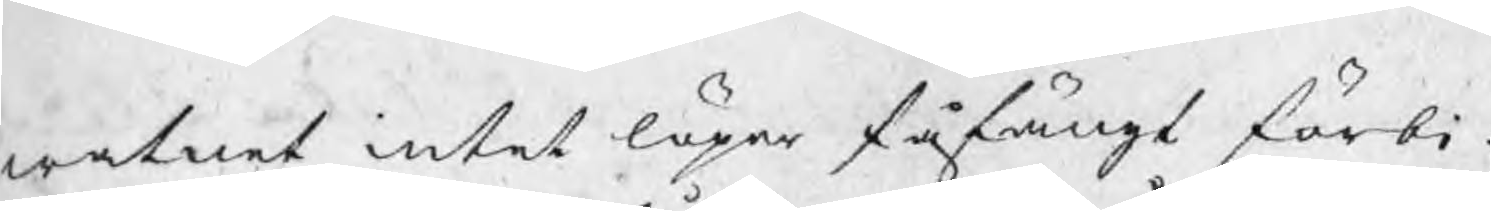watnet intet löper fåfängt förbi.
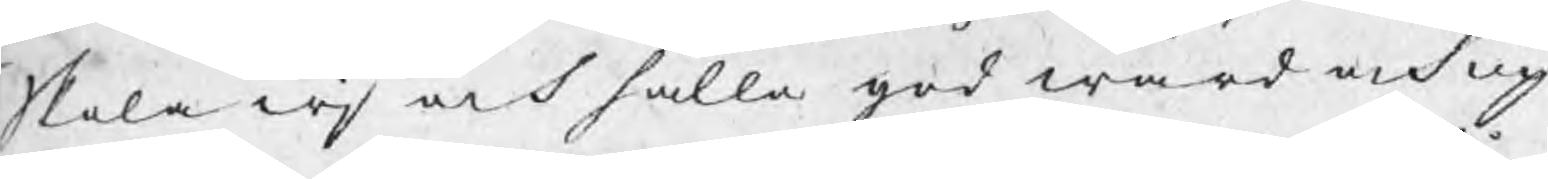Skola wj och hålla god wård och up¬
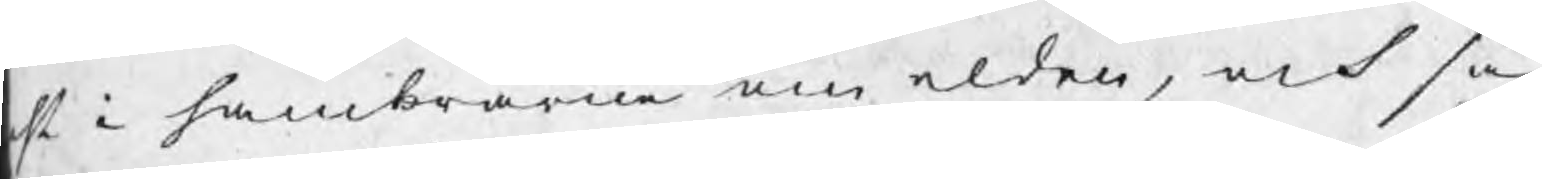hl i hambrarne om elden, och så
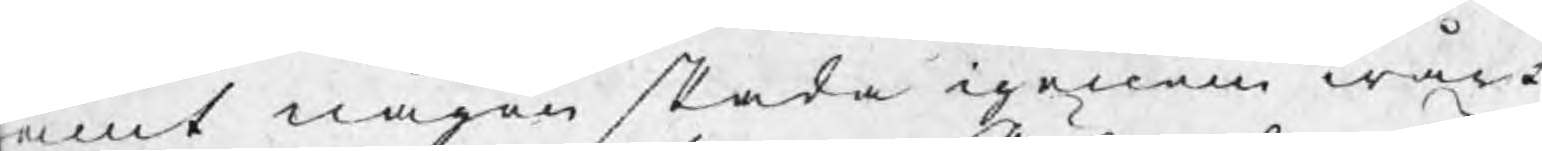amt någon skada igenom wårt
